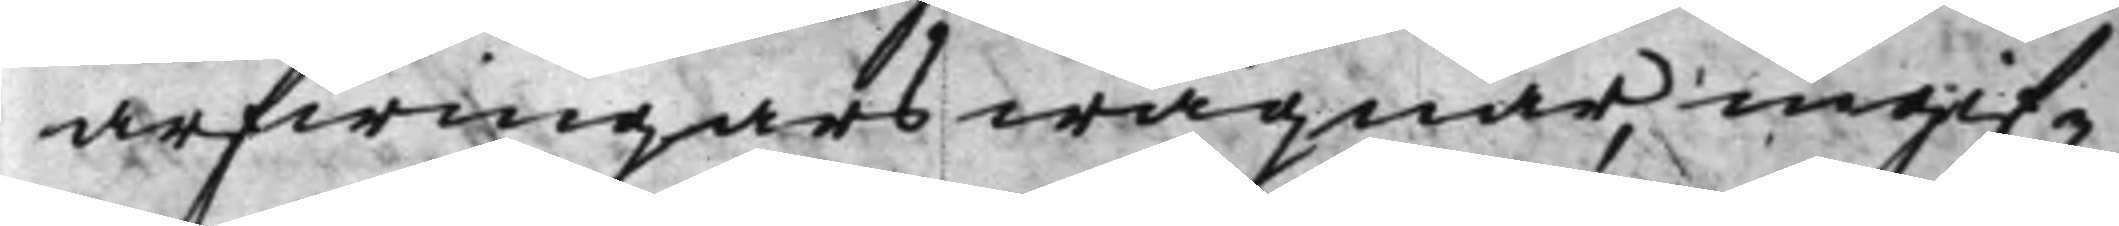arfwingars wägnar, ingif¬
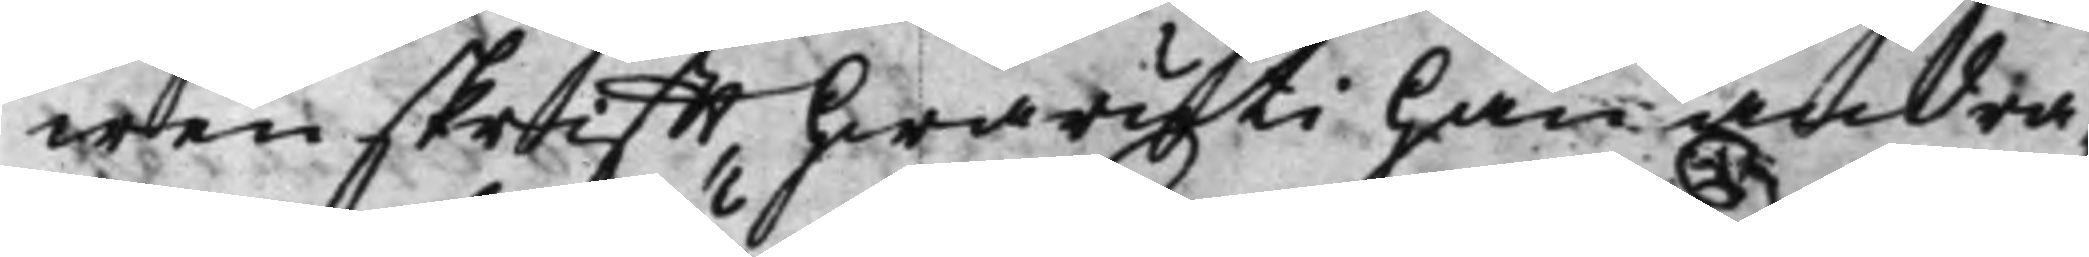wen skrifft, hwaruti han andra¬
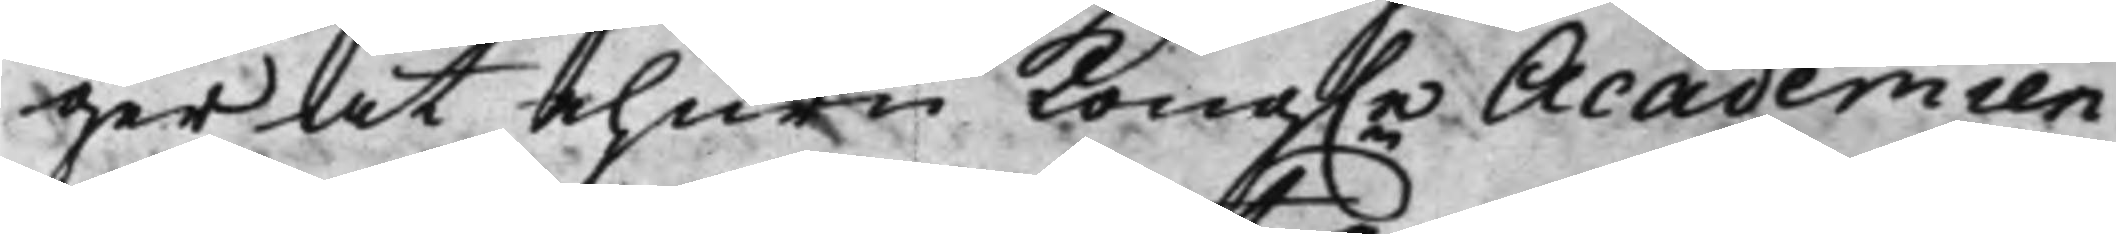ger at ehuru Kong.e Academien 
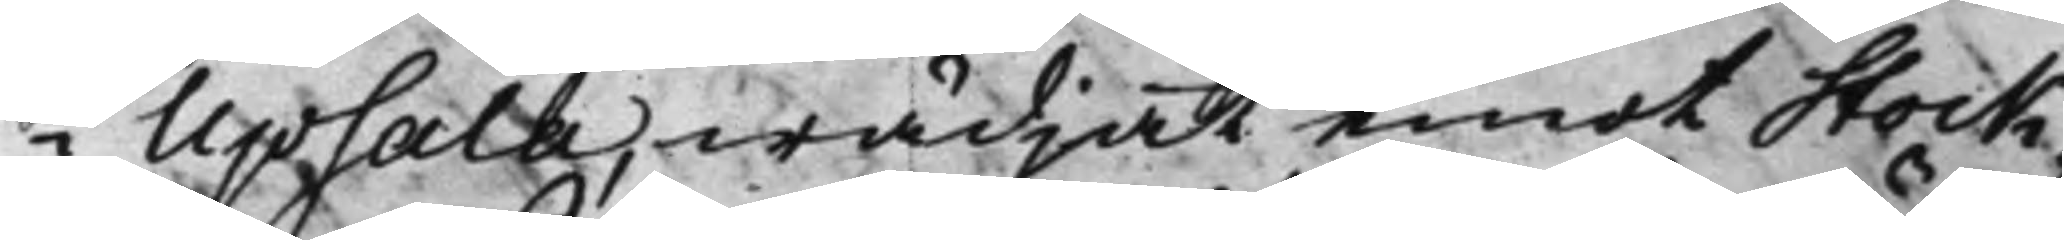i Upsala, wädjat emot Stock¬
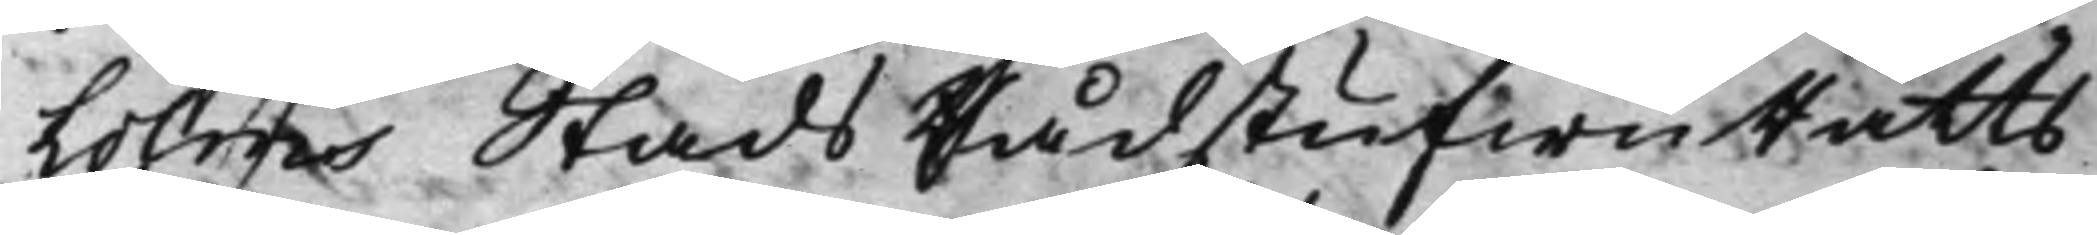holms Stads RådstufwuRätts¬
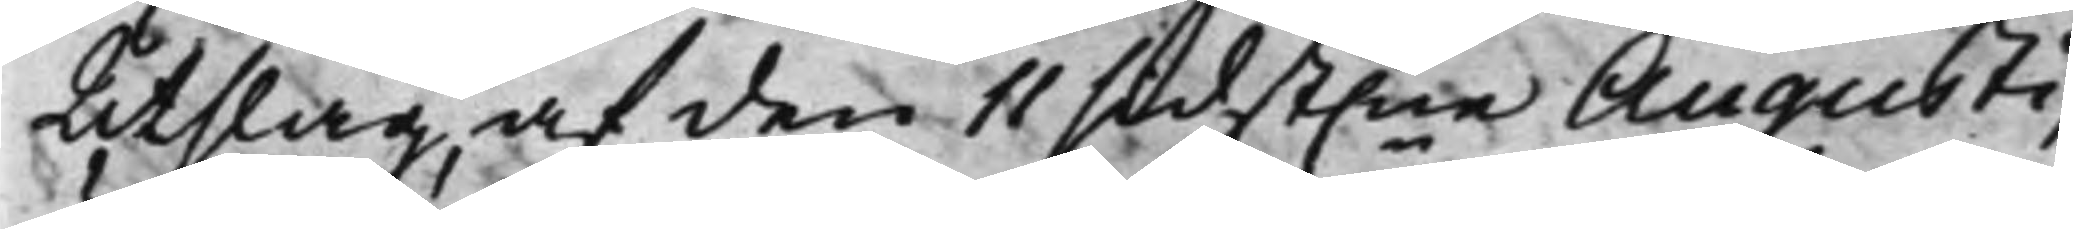Utslag, af den 11 sidst.ne Augusti, 
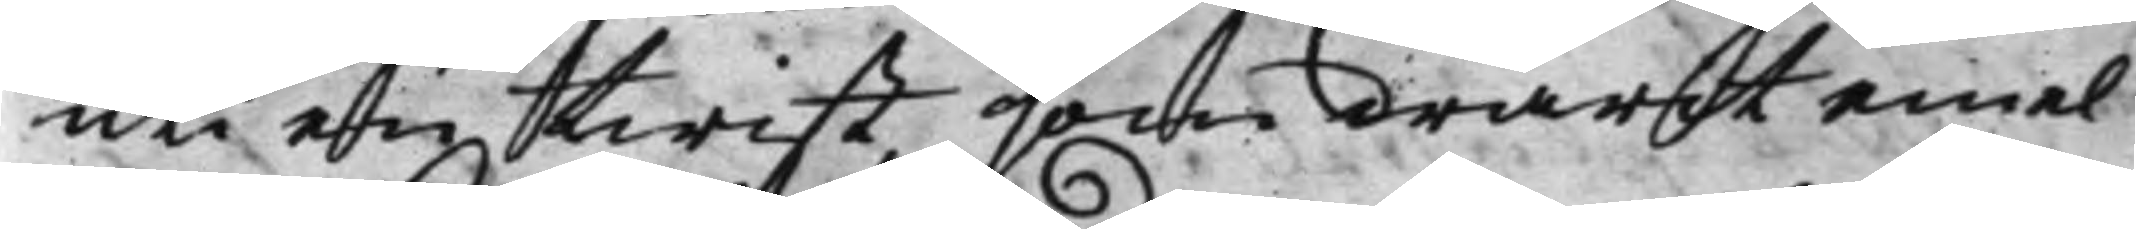uti en twist, som warit emel¬
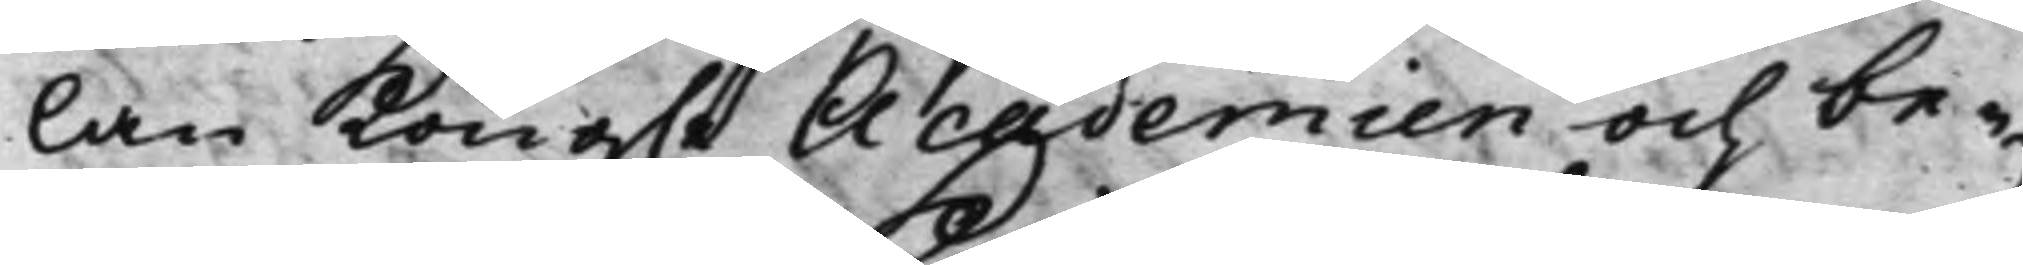lan Kong.e Academien och be¬ 
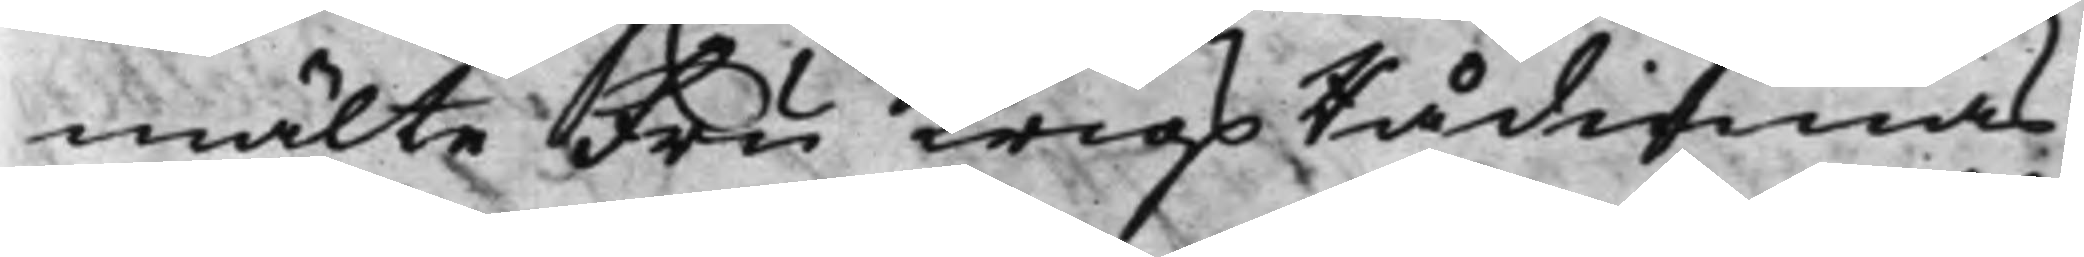mälte Fru KrigsRådinnas
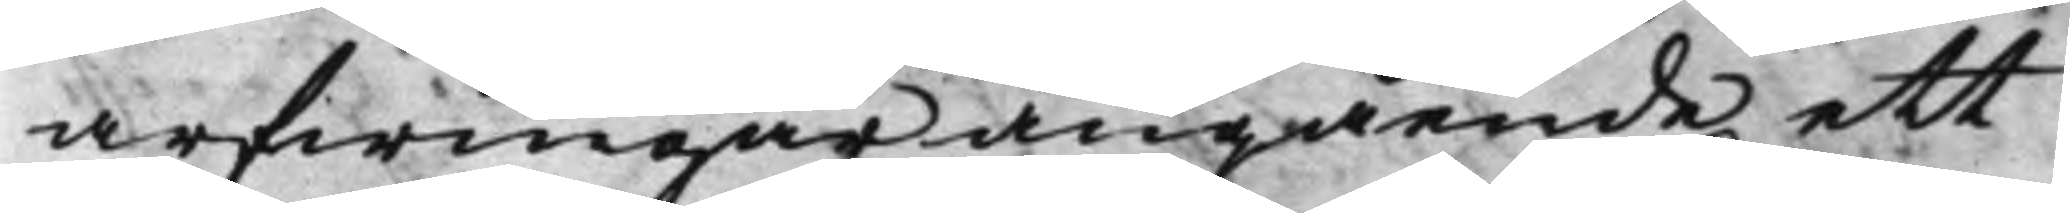arfwingar angående ett
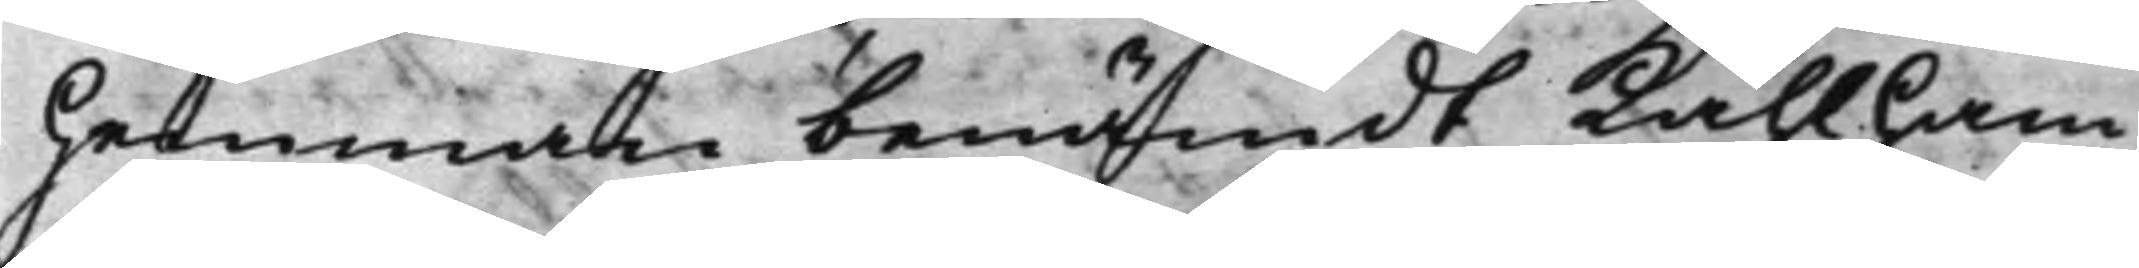hemman benämdt Kåhlham¬
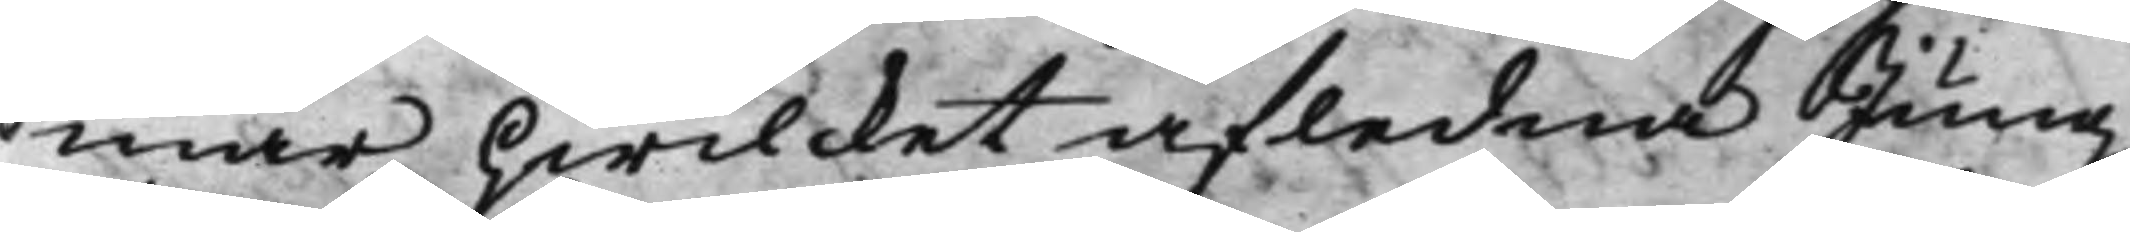mar, hwilcket afledne Jung¬
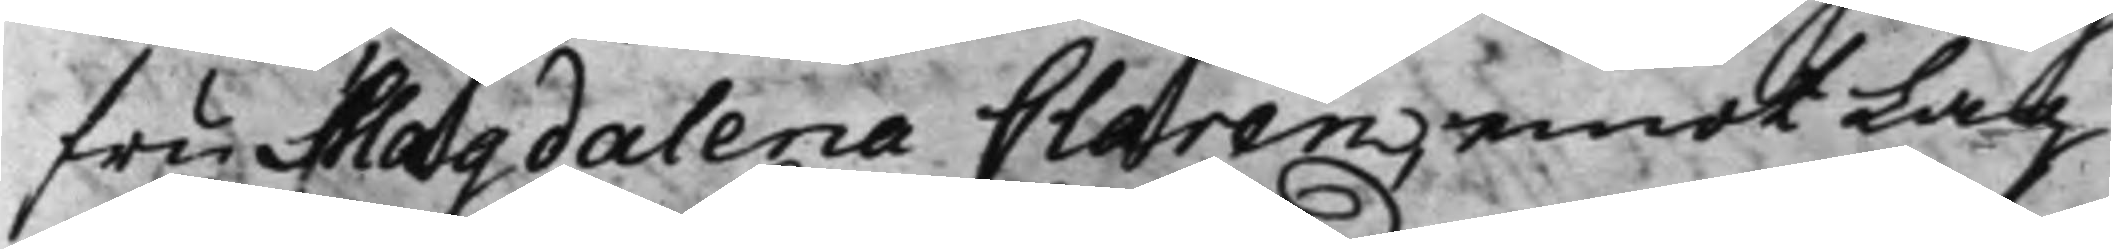fru Magdalera Claren emot Lag
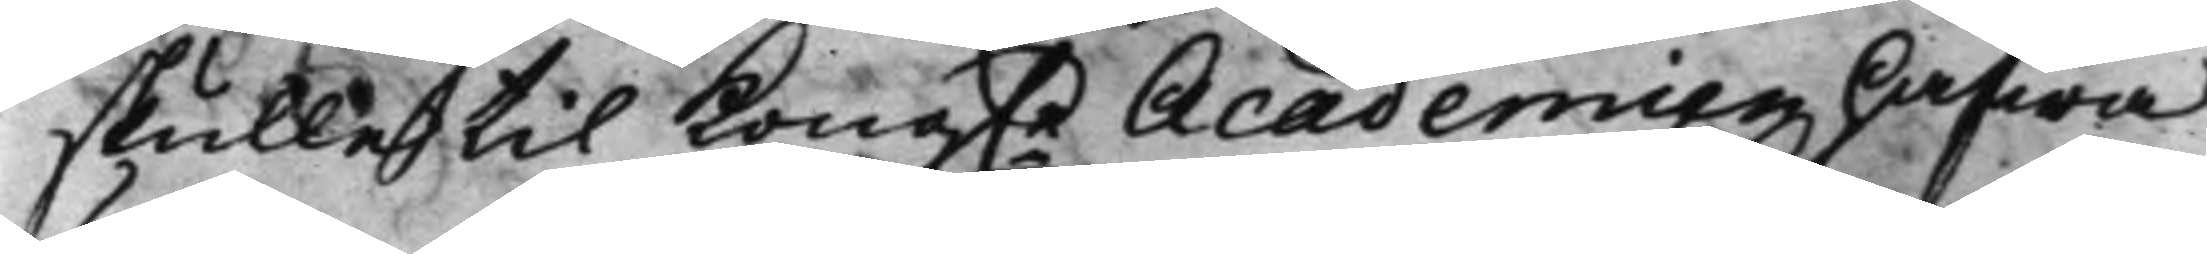skulle til Kong.e Academien hafwa 
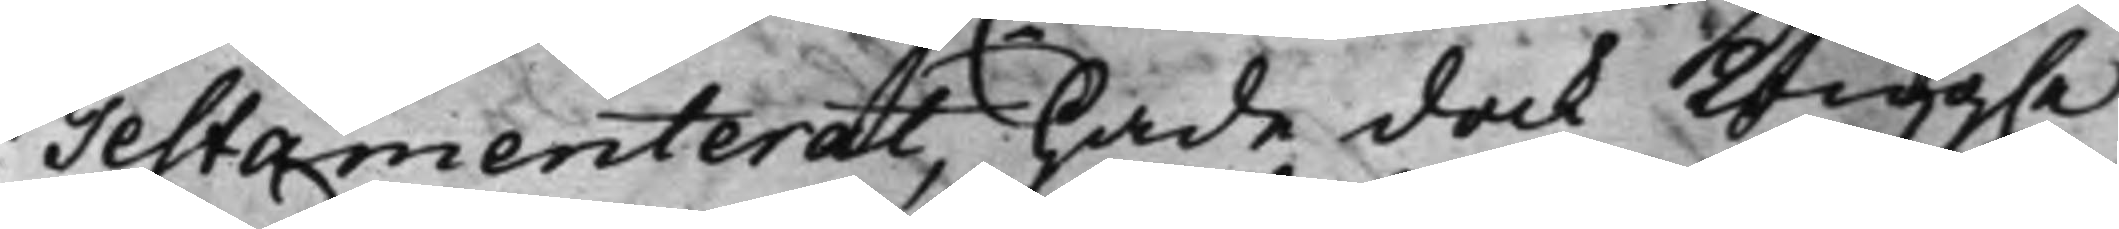Testamenterat, hade dock Kong.e 
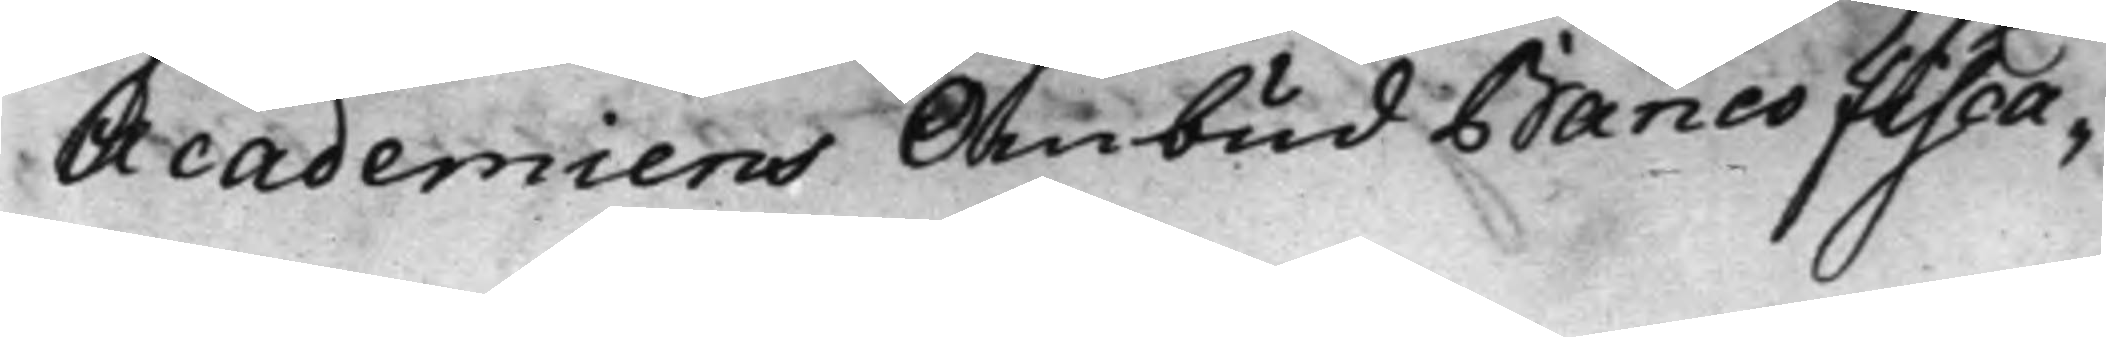Academiens Ombud Banco Fisca¬
